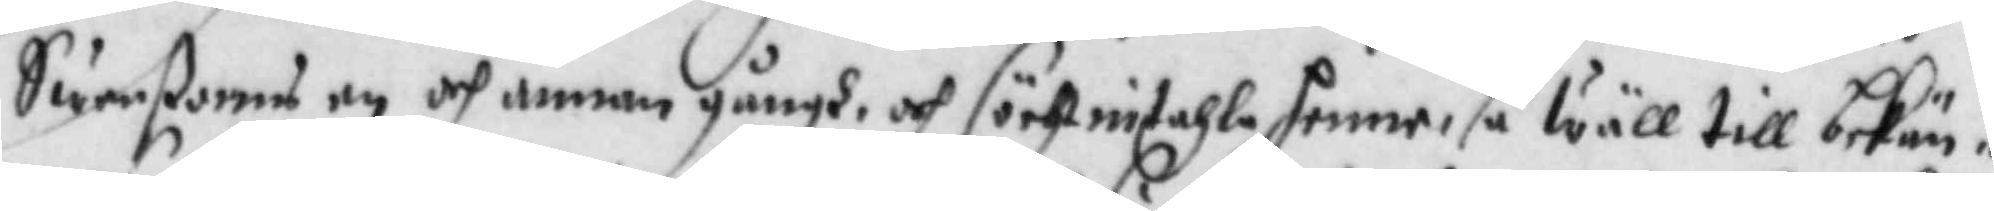Swenßonns en och annan gångh och söcht intahla henne, så wäll till bekän¬
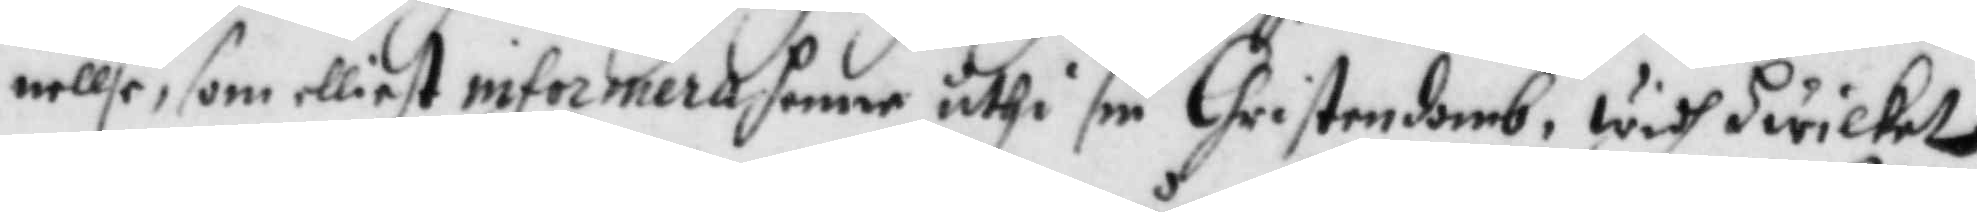nellse, som elliest informera henne uthi sin Christendomb, widh hwilket
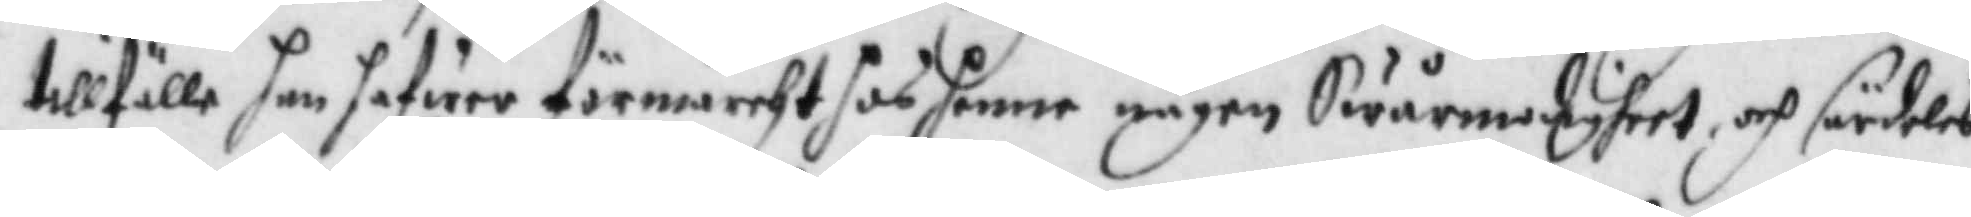tillfälle han hafwer förmärcht hos henne någon Swårmodigheet, och särdeles
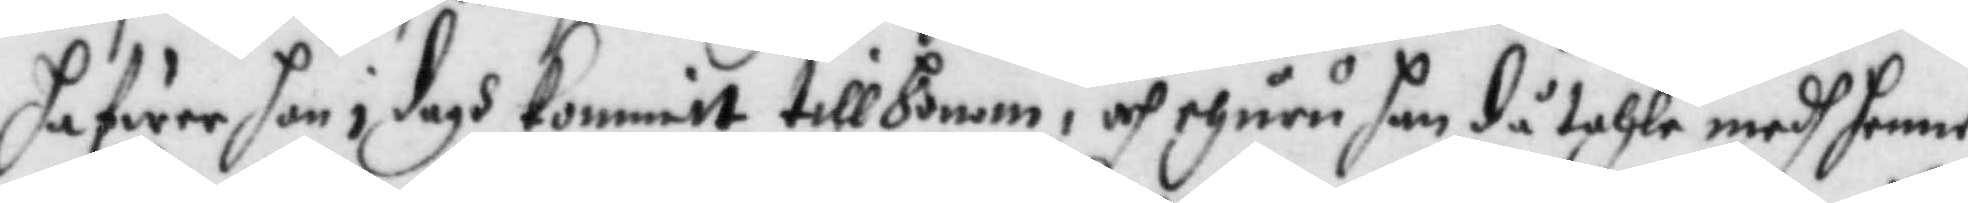hafwer han i dgh kommit till honom, och ehuru han då tahla medh henne,
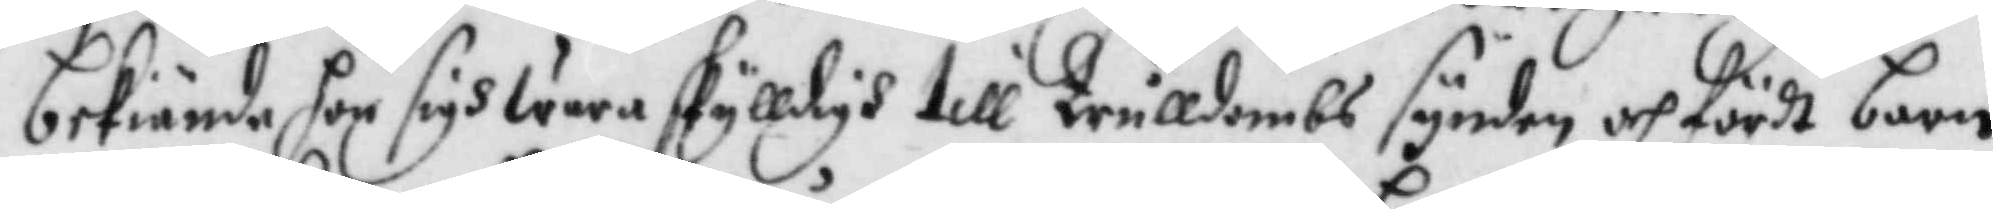bekiände hon sigh wara skylldigh till Trulldombs synden och fördt barn
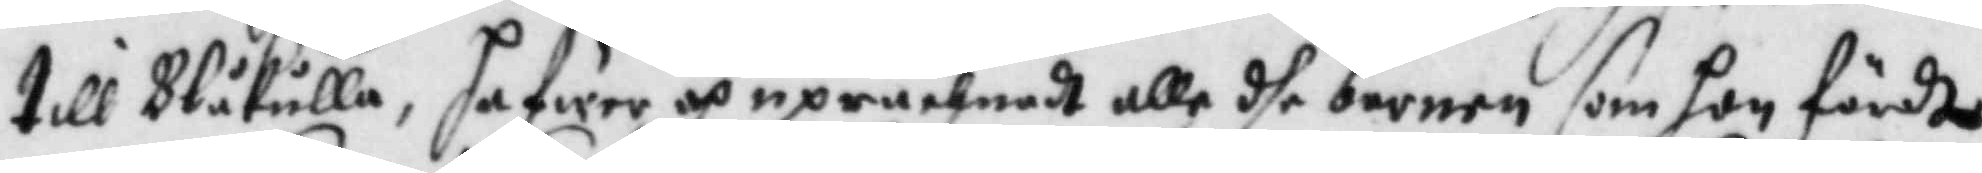till Blåkulla, hafwer och uprächnadt alle dhe barnen som hon fördte
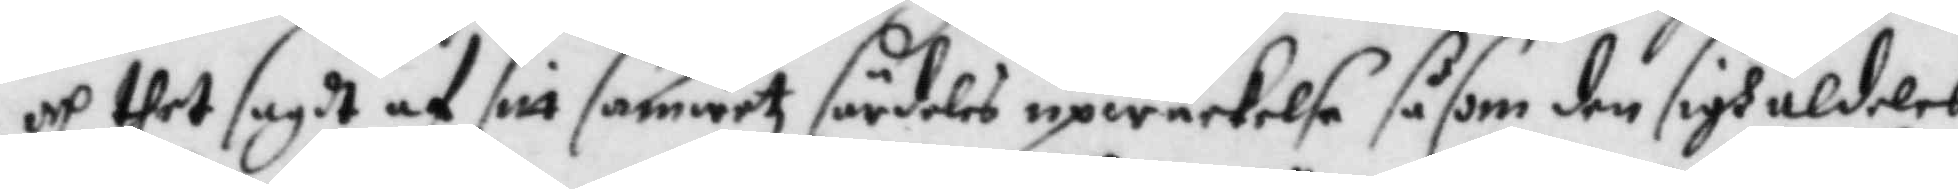och thet sagdt af sitt samwetz särdeles upwäckelse såsom den sigh aldeles
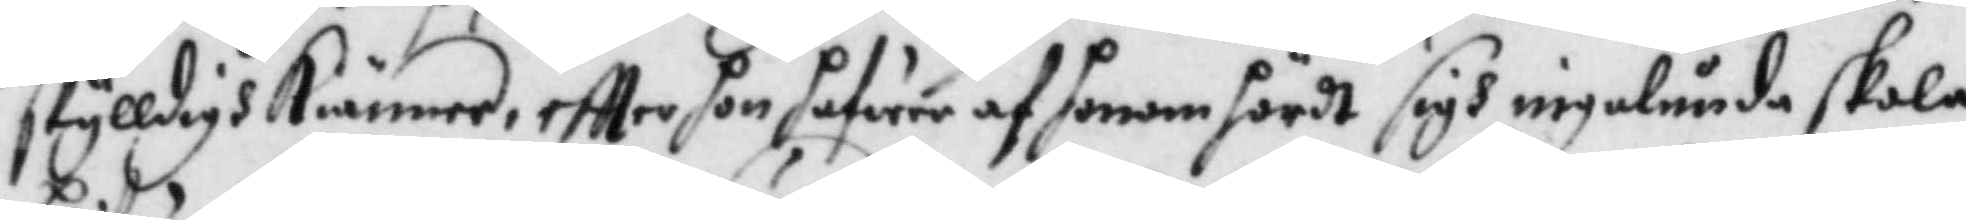skylldigh Kiänner, eftter hon hafwer af honom hördt sigh ingalunda skola
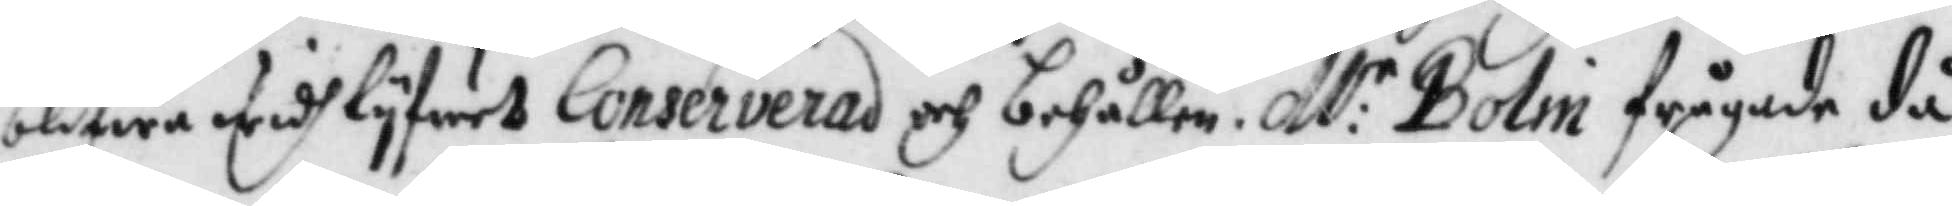blifwa widh lyfwet Conservera och behållen. M:r Bolin frågade då
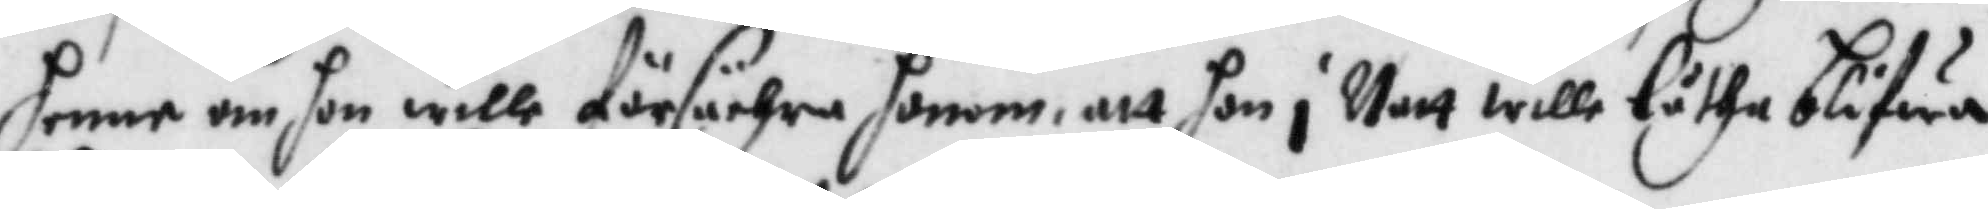henne om hon wille försächra honom att hon i Natt wille låtha blifwa
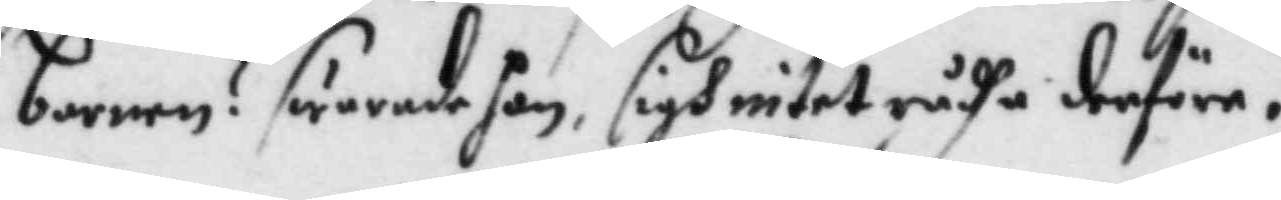barnen? swarade hon sigh intet rådha derföre.
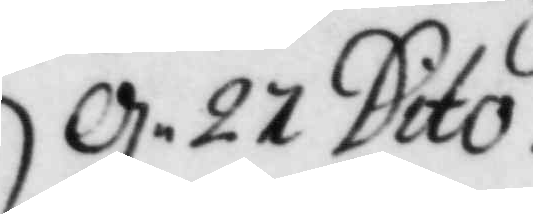d. 27 Dito.
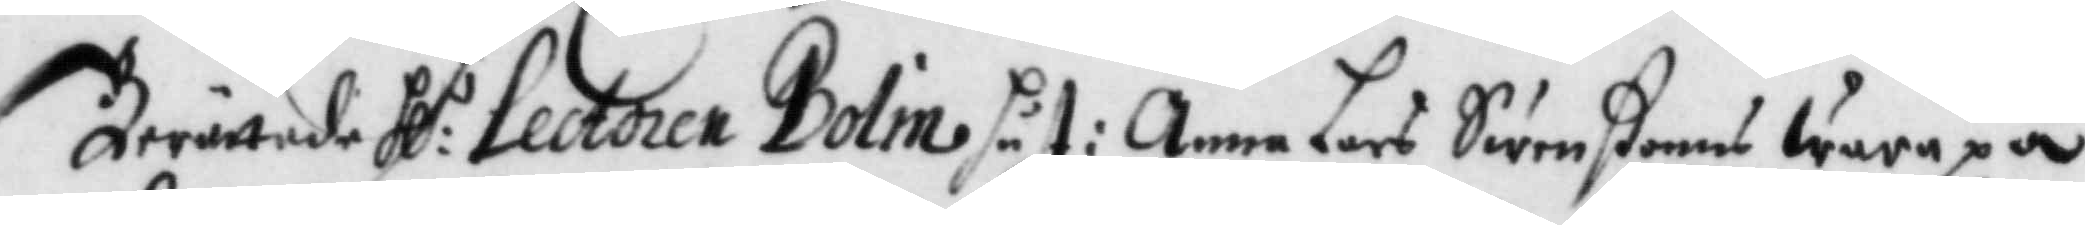Berättade Hl:r Lector Bolin hust: Anna Lars Swenßonns wara på
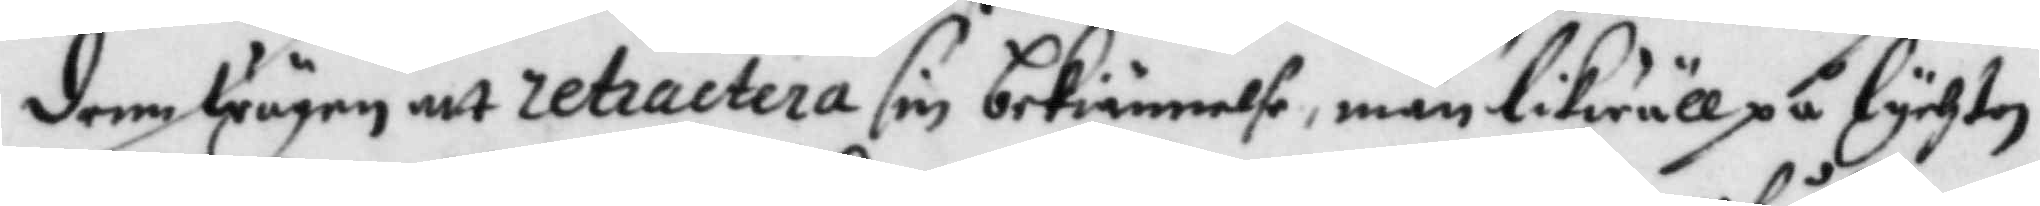den wägen att retractera sin bekiännelse, män likwäll på lychten
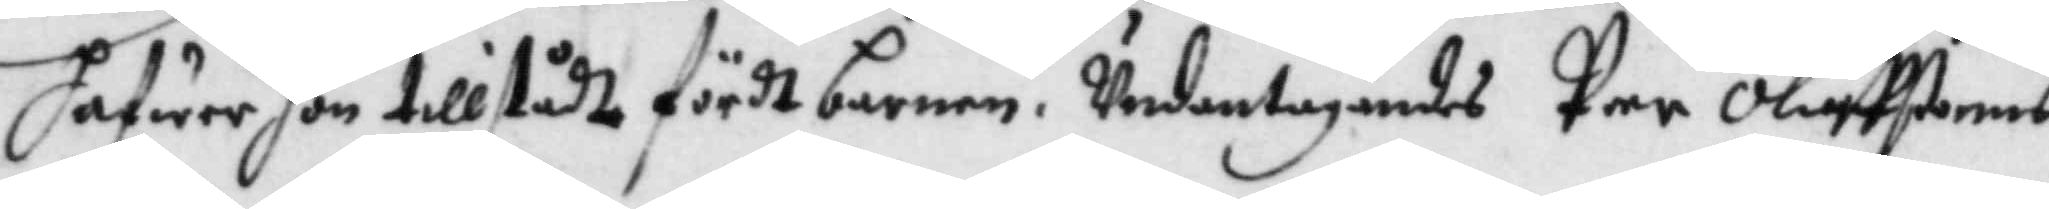hafwer hon tillstådt fördt barnen. Undantagandes Per Oluffßonns
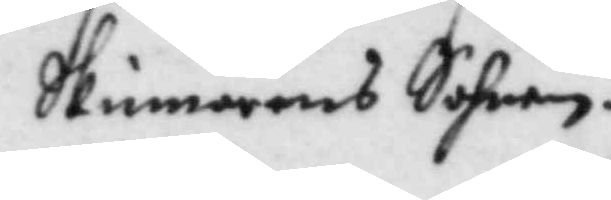Skinnares Sohnen.
